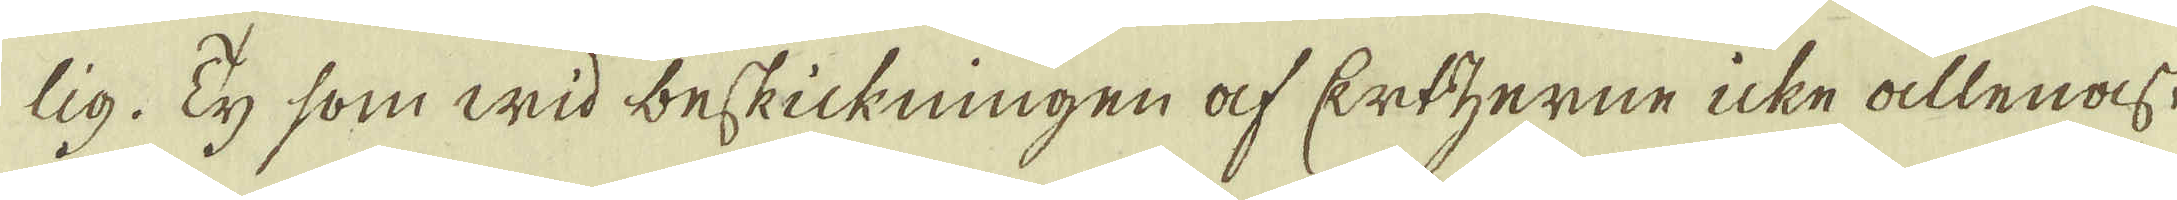lig. Ty som wid beskickningen af Ertzerne icke allenast
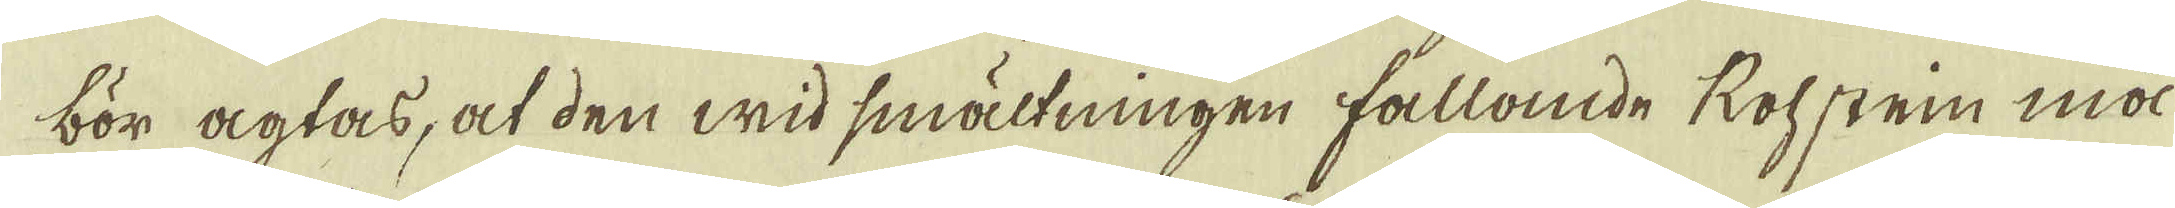bör agtas, at den wid smältningen fallande Rohstein må
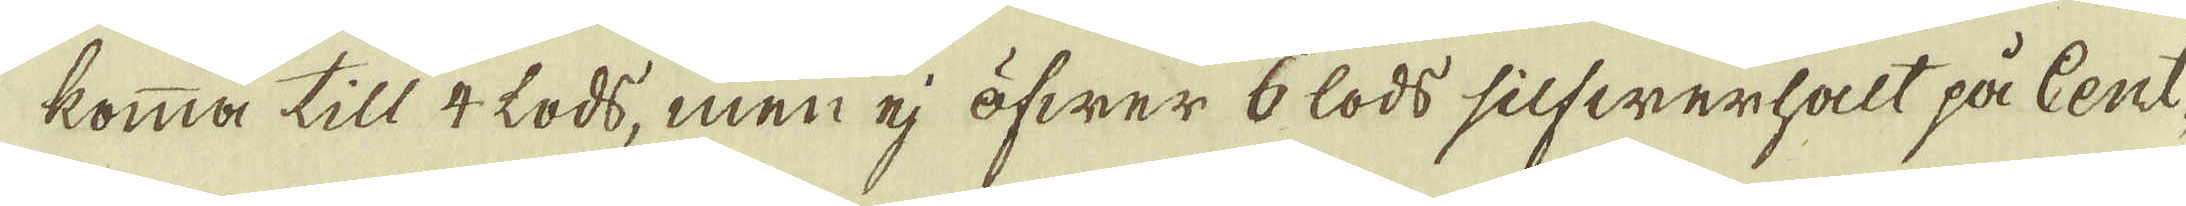komma till 4 lods, men ej öfwer 6 lods silfwerhalt på Cent-
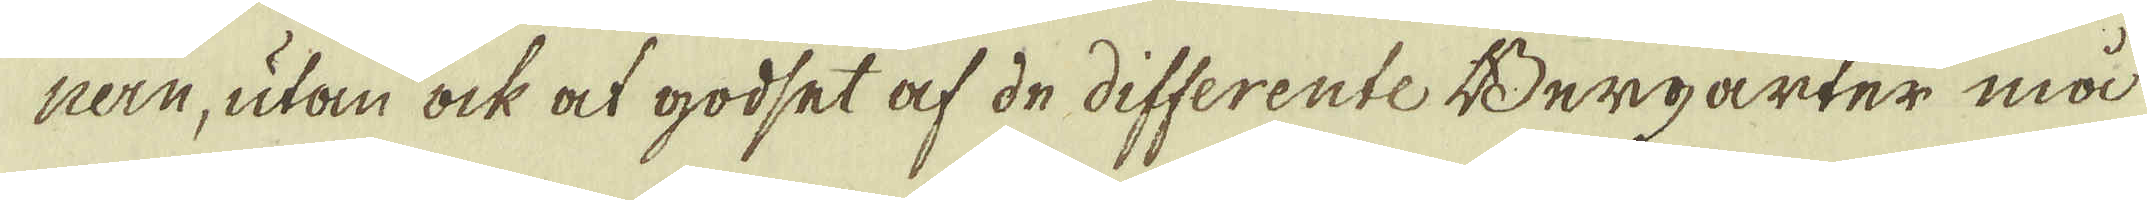nern, utan ock at godset af de differente Bergarter må
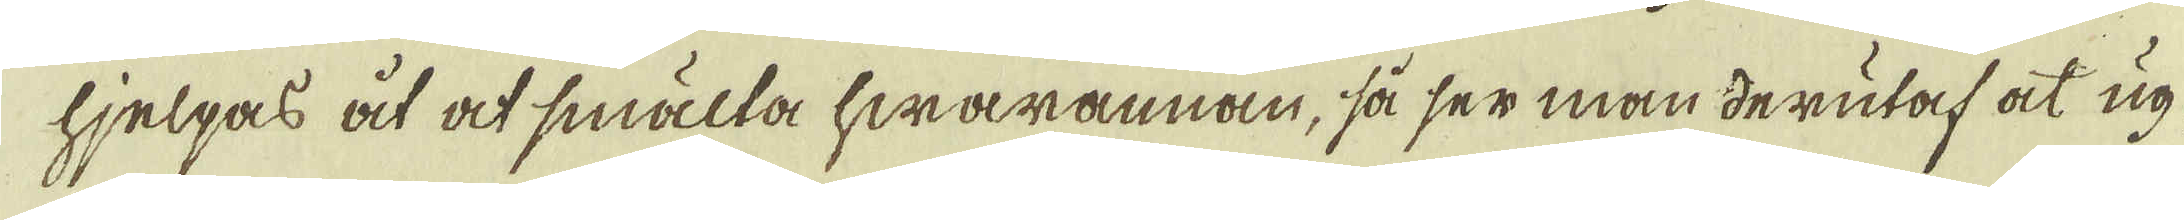hjelpas åt at smälta hwarannan, så ser man derutaf at ug-
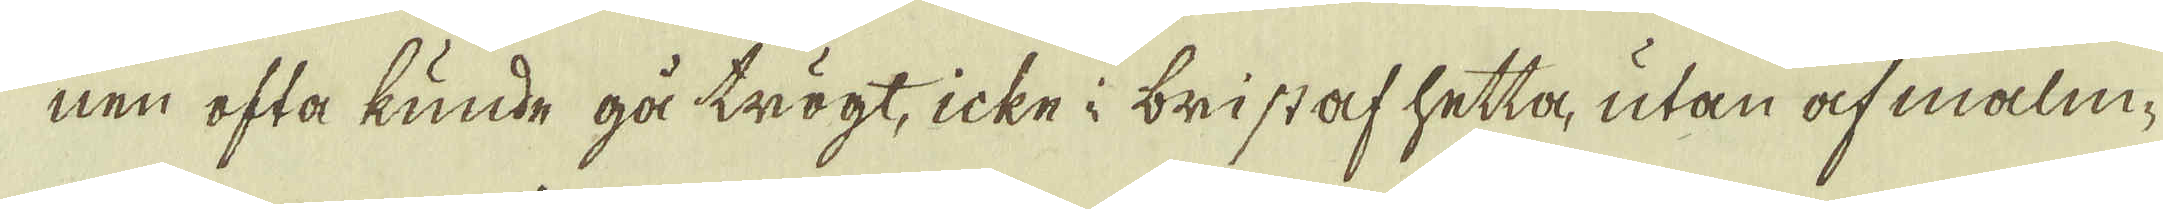nen ofta kunde gå trögt, icke i bristaf hetta, utan af malm-
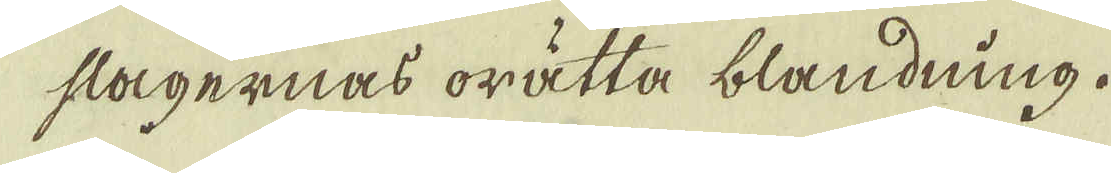slagernas orätta blandning.
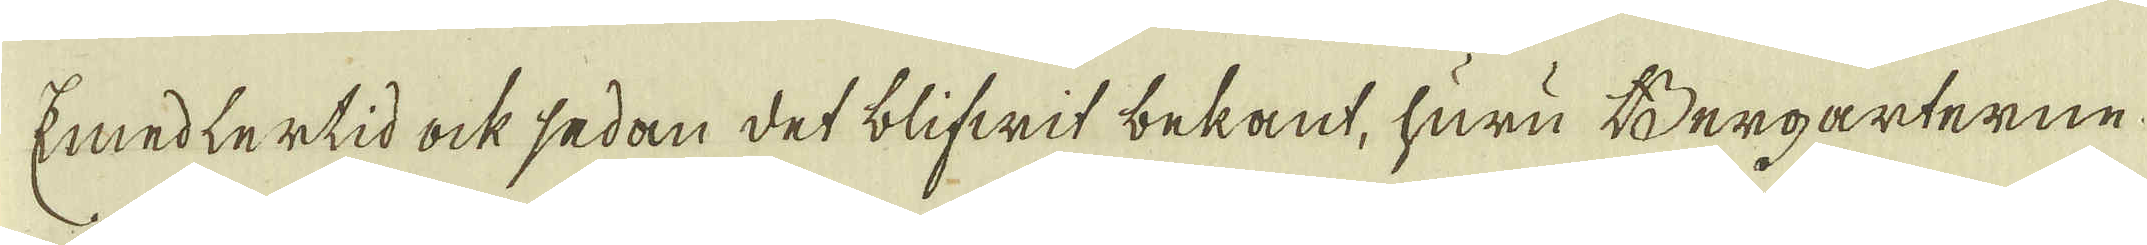Emedlertid ock sedan det blifwit bekant, huru Bergarterne
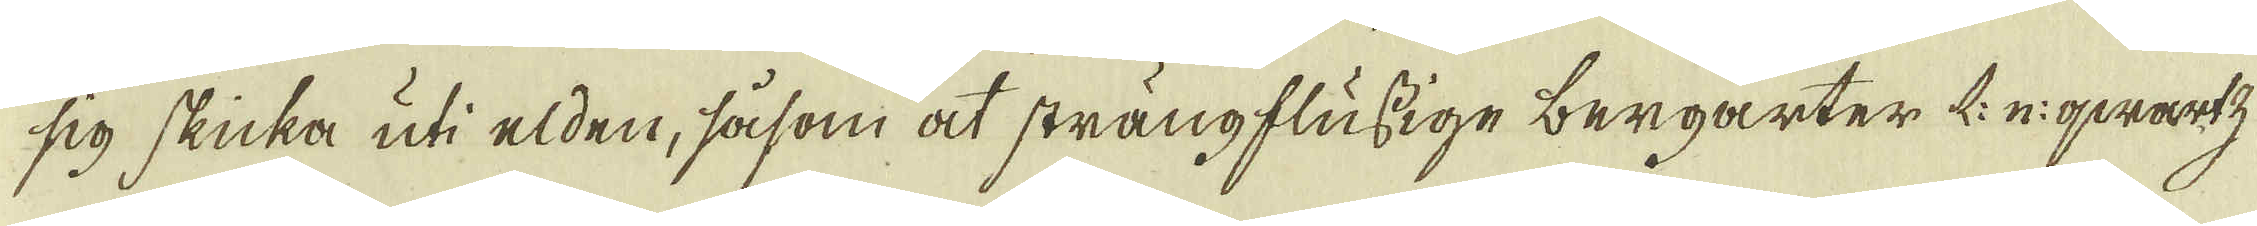sig skicka uti elden, såsom at strängflussige bergarter L: n: qwartz
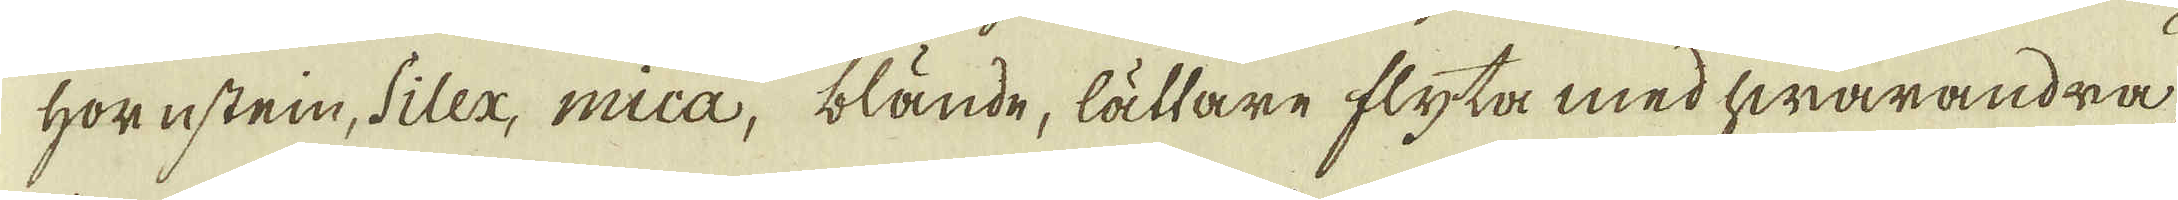hornstein, siler, mica, blände, lättare flyta med hwarandra
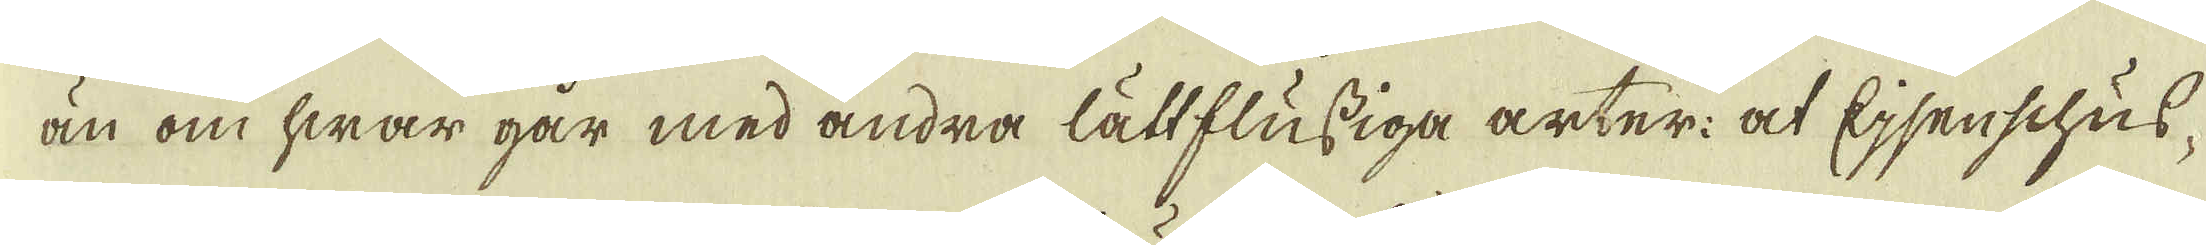än om hwar går med andra lättflussiga arter: at Ejsenschus-
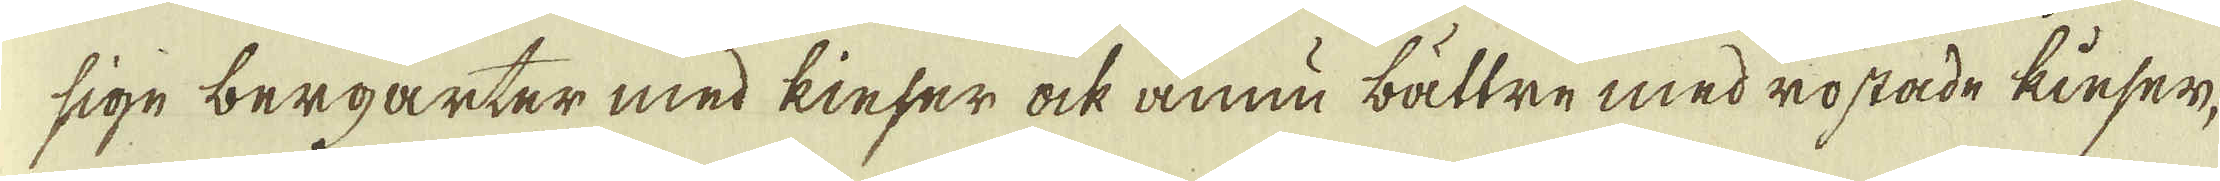sige bergarter med kieser ock ännu bättre med rostade kinser-
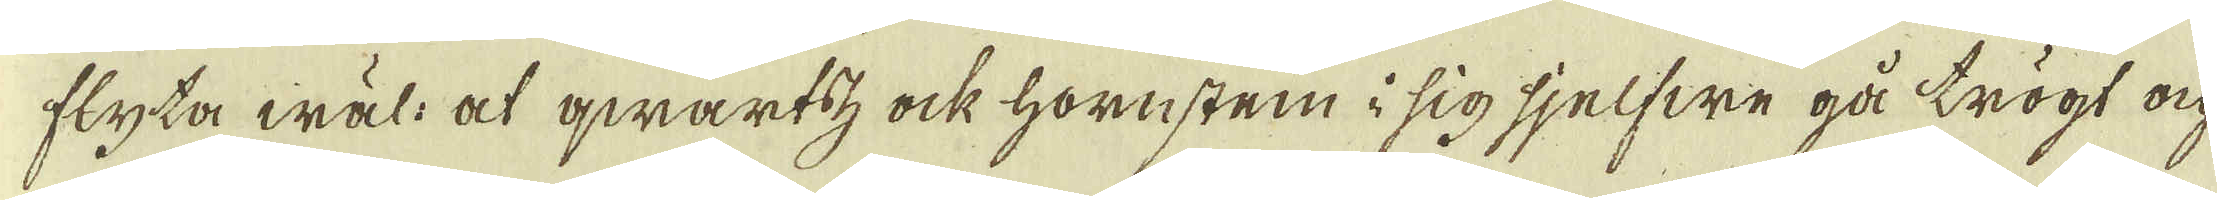flyta wäl: at qwartz ock hornsten i sig sjelfwe gå trögt oc-
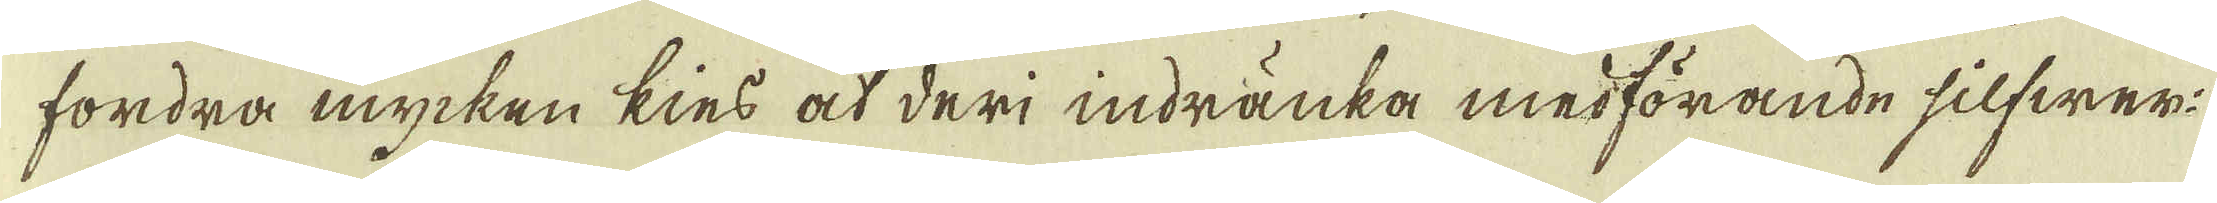fordra mycken kies at deri indränka medförande silfwer:
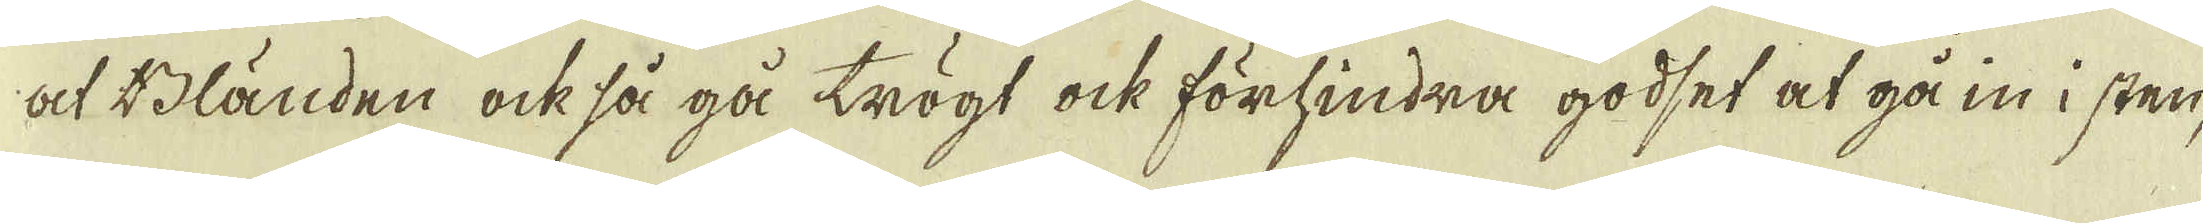at Bländen ock så gå trögt ock förhindra godset at gå in i sten,
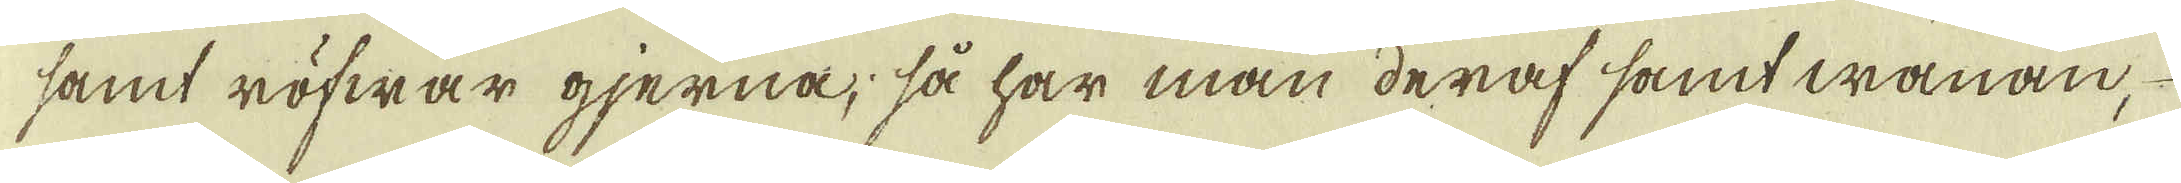samt röfwar gjerna, så har man deraf samt wanan,
